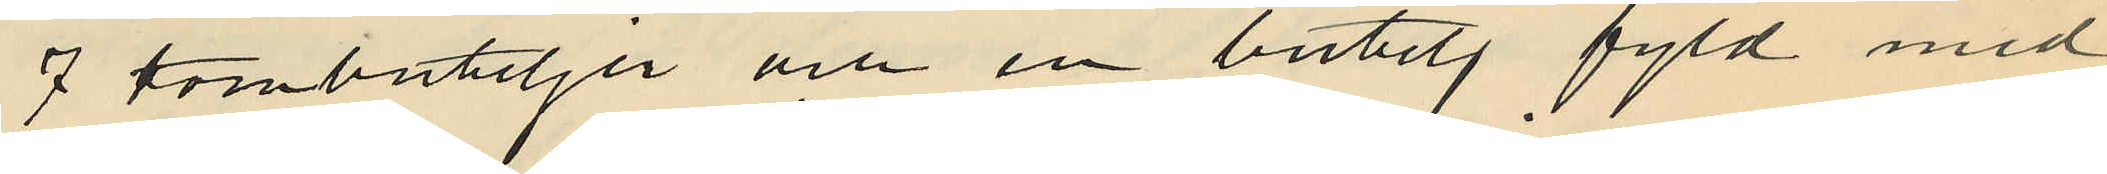7 tombuteljer och en butelj fyld med
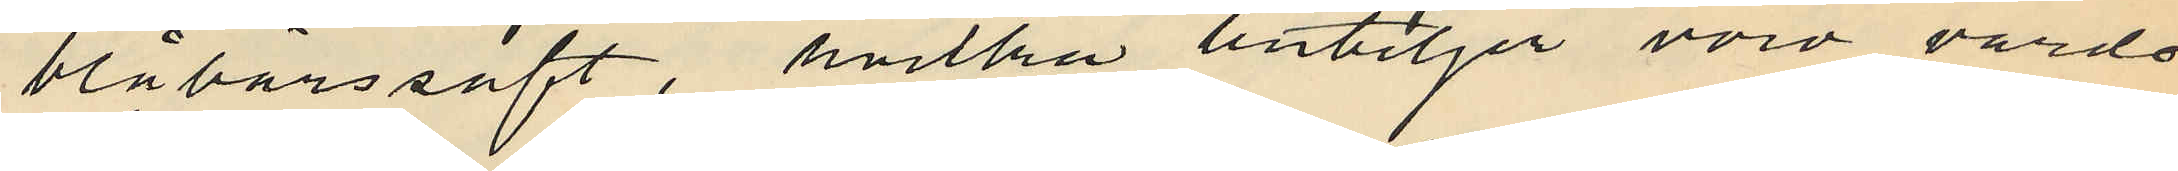blåbärssaft, hvilka buteljer voro värda
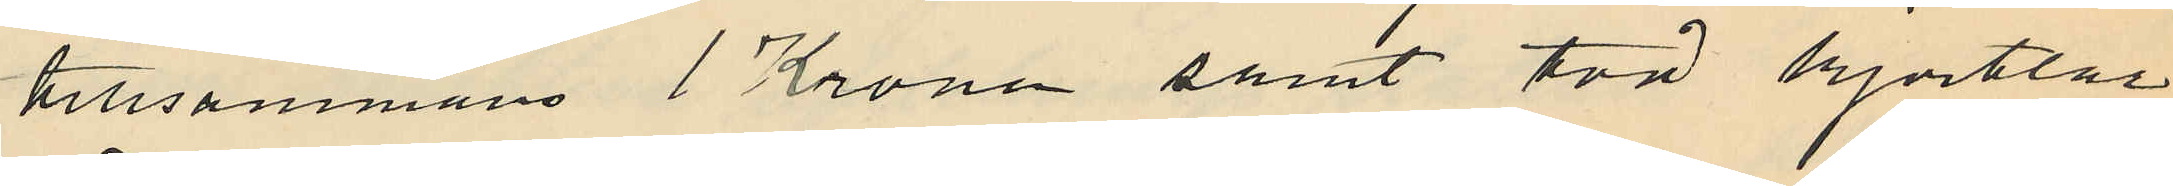tillsammans 1 Krona samt två kjortlar
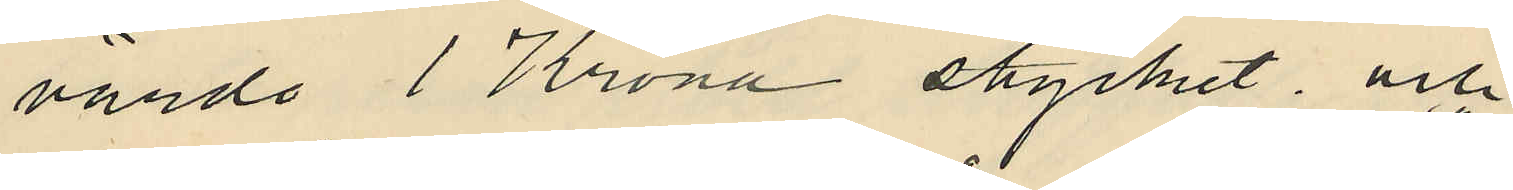värda 1 Krona stycket; och
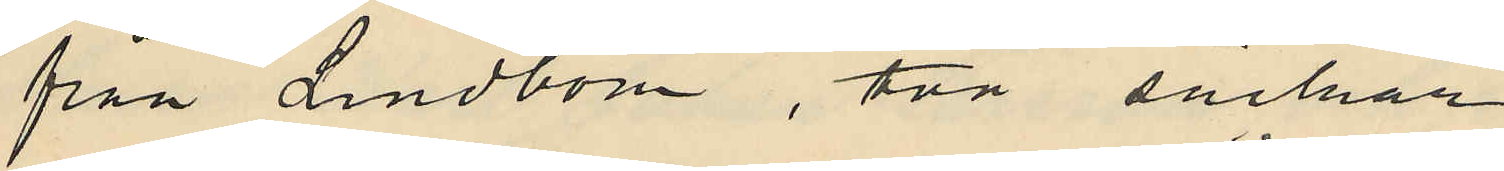från Lindbom, två säckar
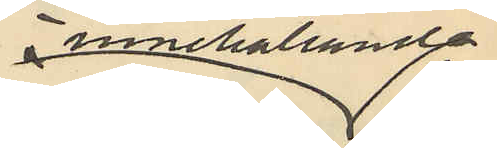innehållande
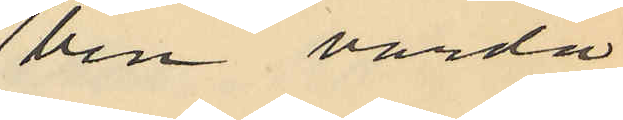ben värda
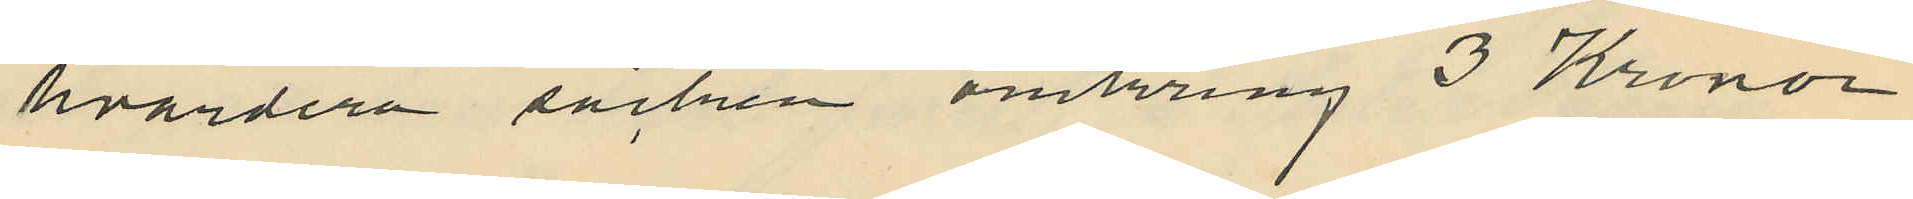hvardera säcken omkring 3 Kronor
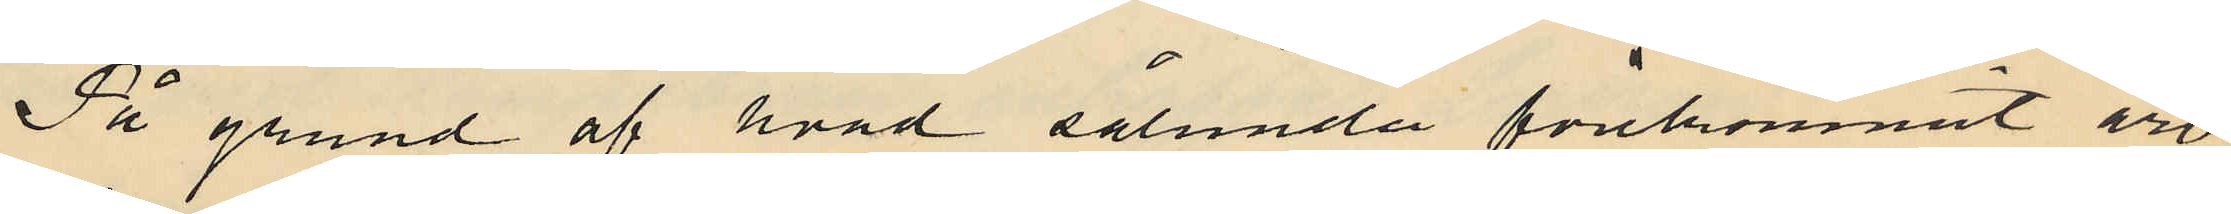På grund af hvad sålunda förekommit äro
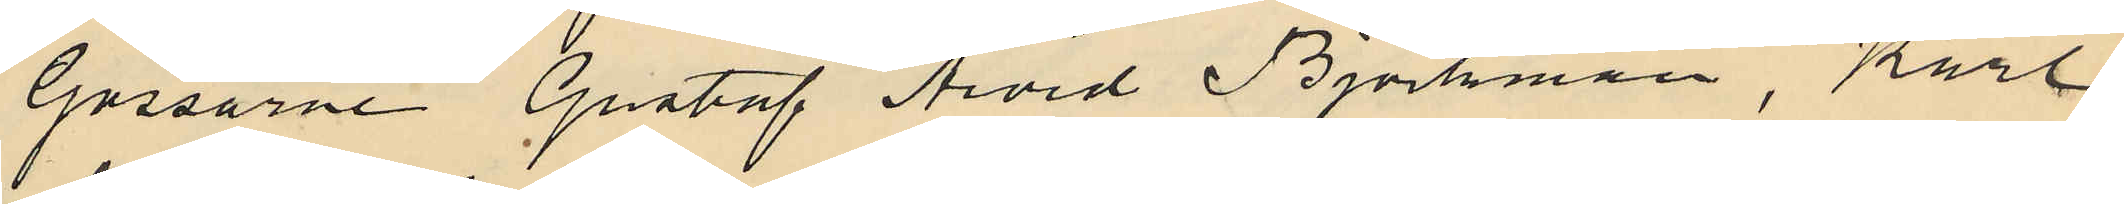Gossarne Gustaf Avid Björkman, Karl
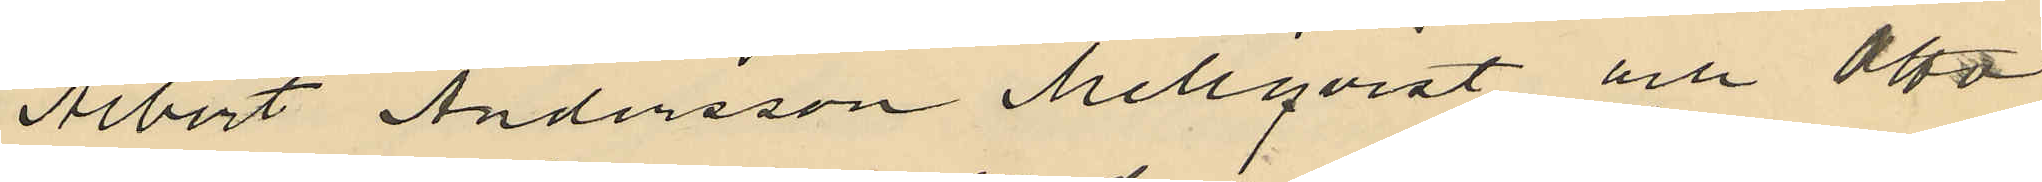Albert Andersson Mellqvist och Otto
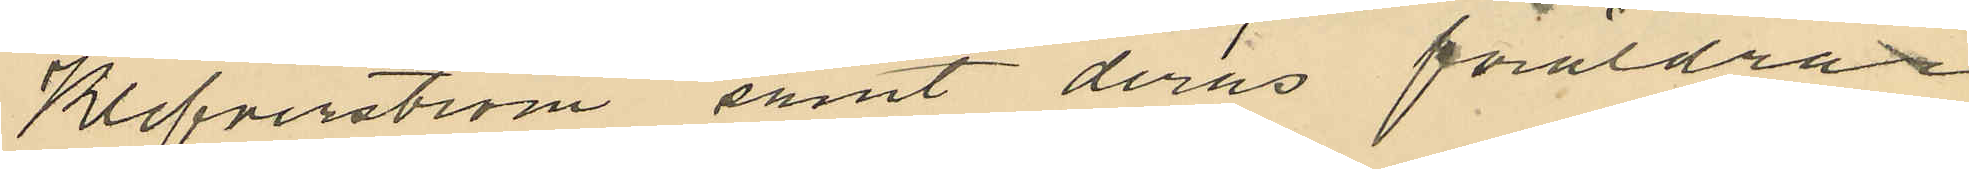Klefverström samt deras föräldrar
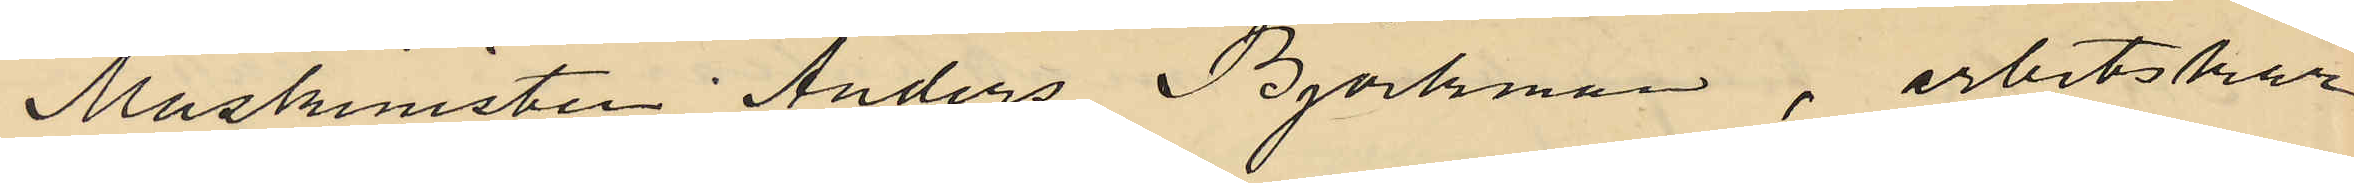Maskinisten Anders Björkman, arbetskar¬
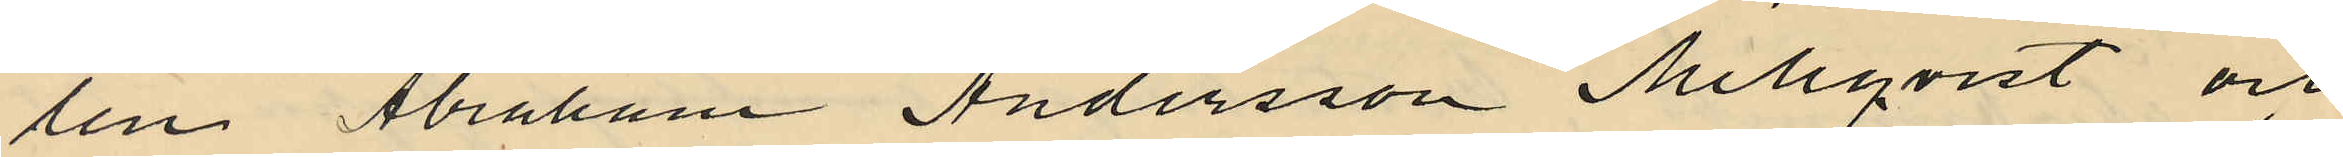len Abraham Andersson Mellqvist och
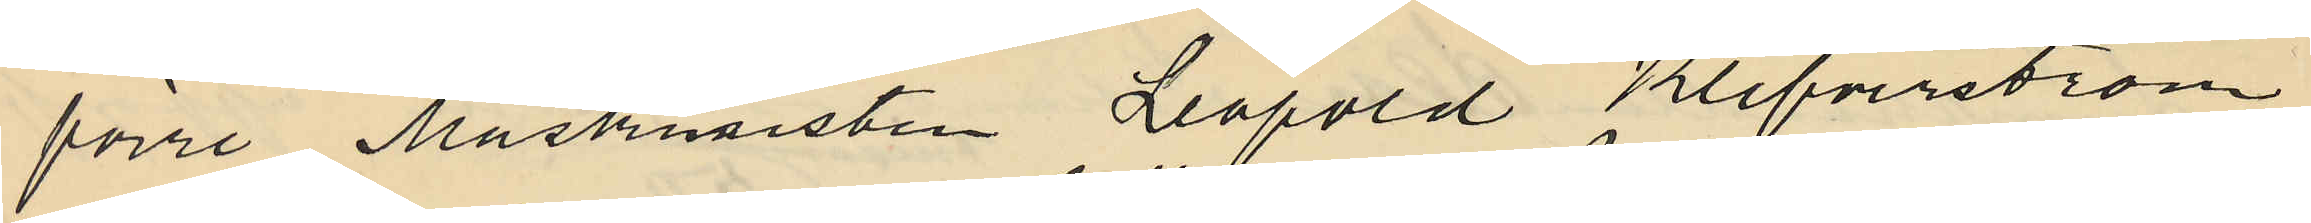förre Maskinisten Leopold Klefverström
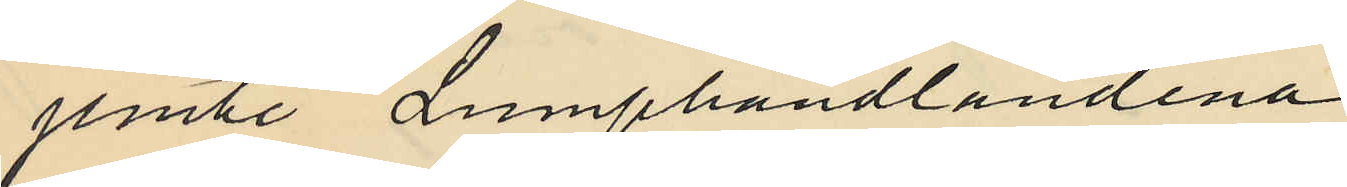jemte Lumphandlandena
